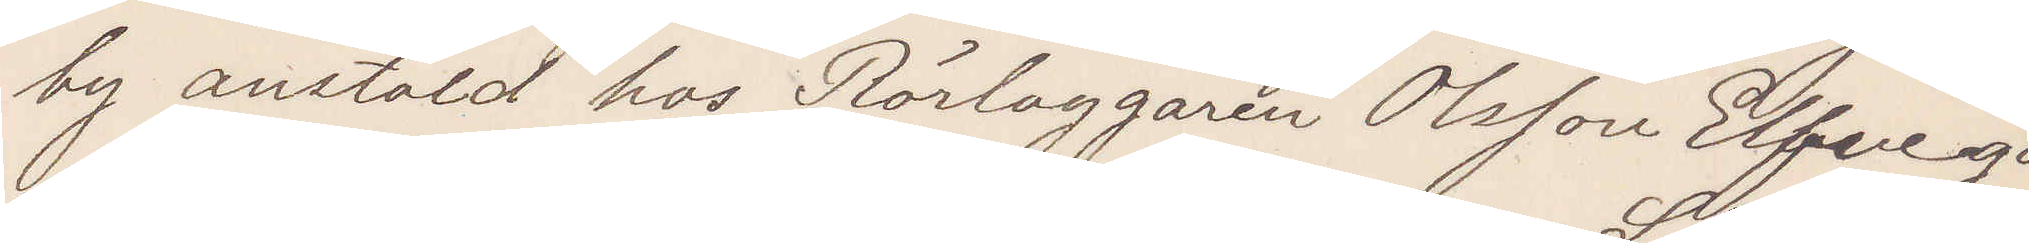by anstäld hos Rörlaggaren Olson Elfvega¬
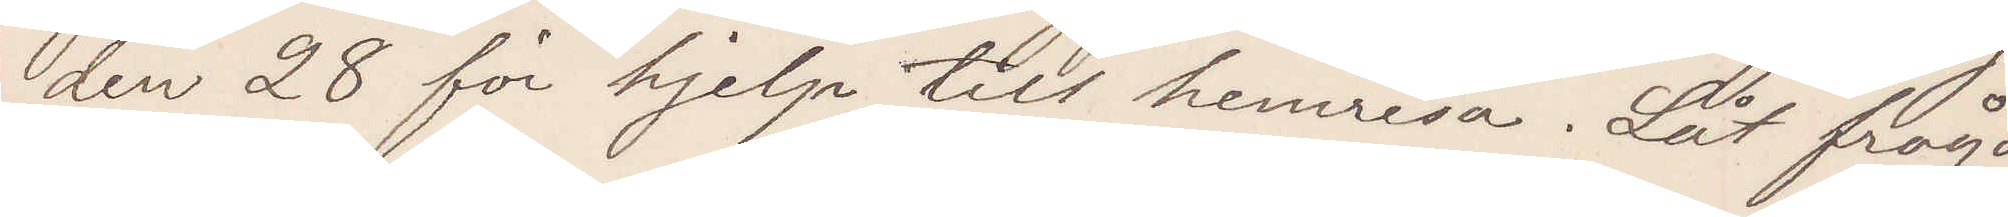den 28 för hjelp till hemresa. Låt fråga
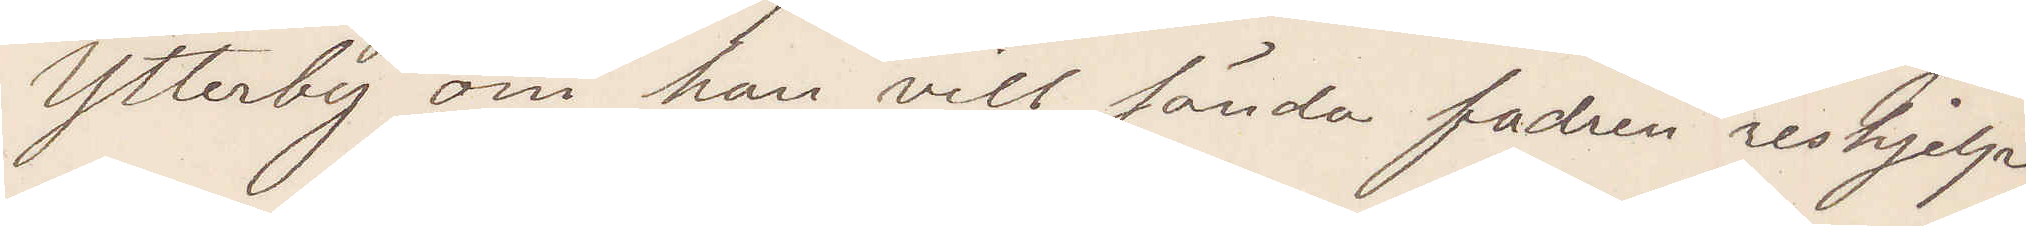Ytterby om han vill sända fadren reshjelp
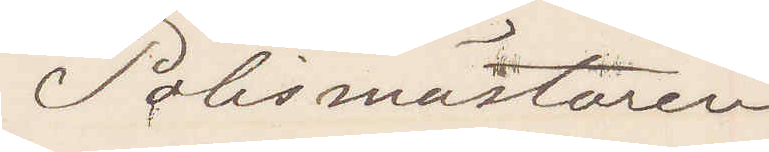Polismästaren
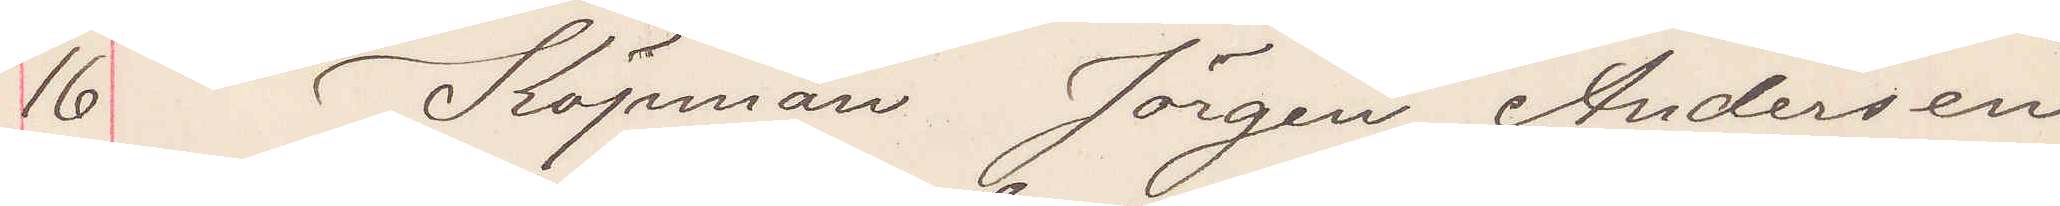16 Köpman Jörgen Andersson
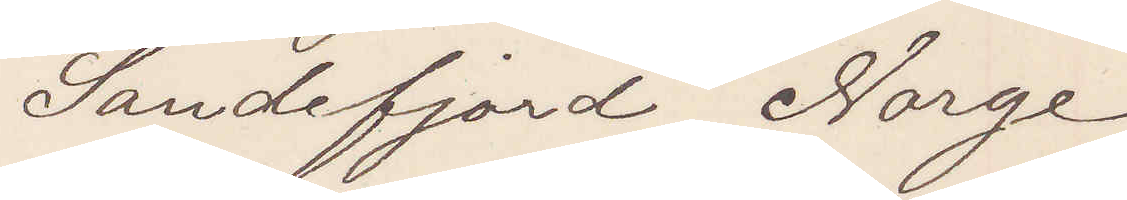Sandefjord Norge
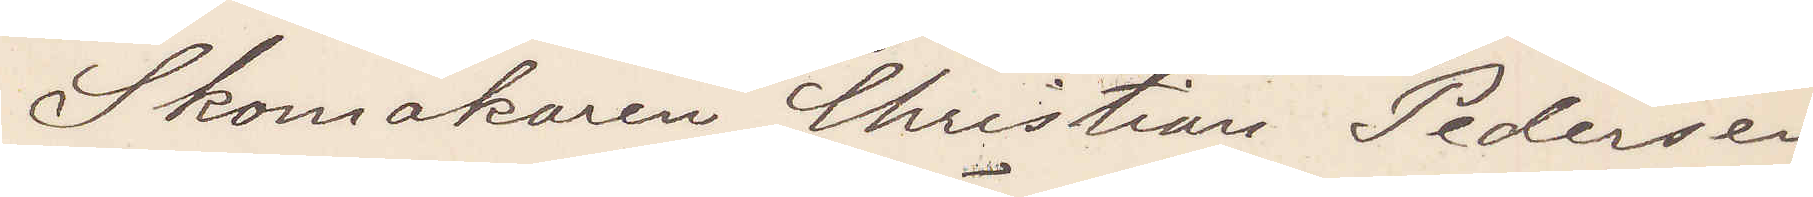Skomakaren Christian Pedersen
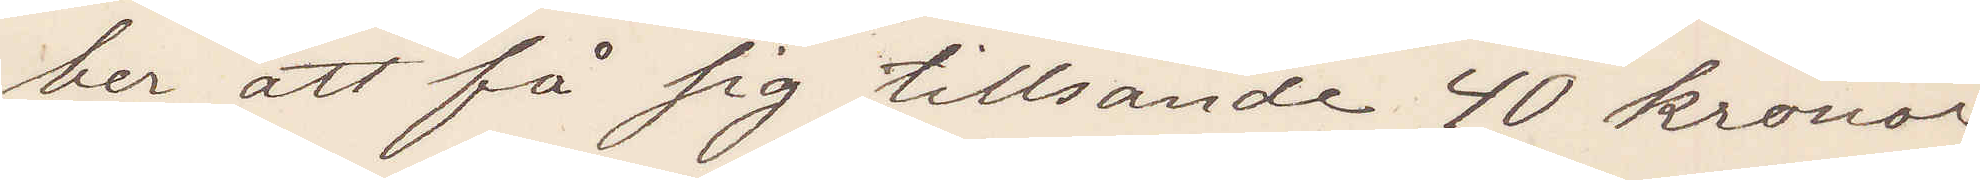be att få sig tillsände 40 kronor
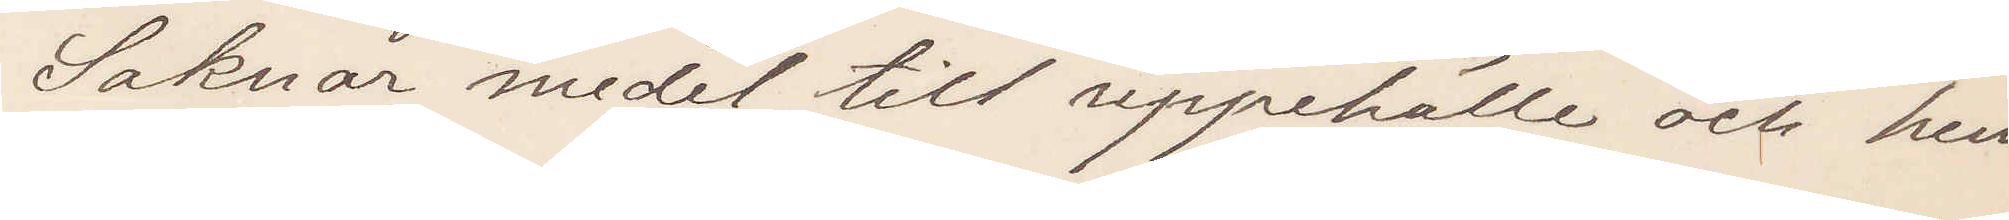Saknar medel till uppehälle och hem¬
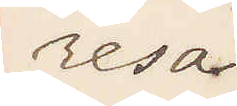resa
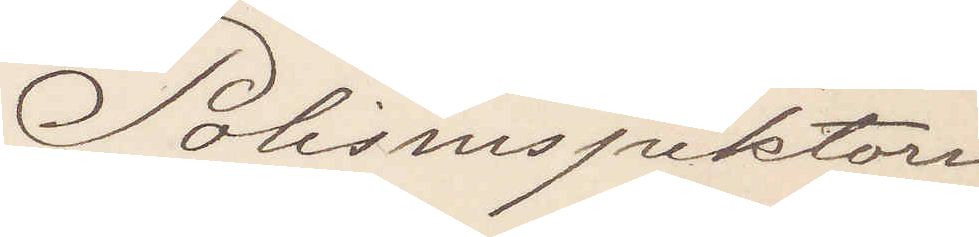Polisinspektorn
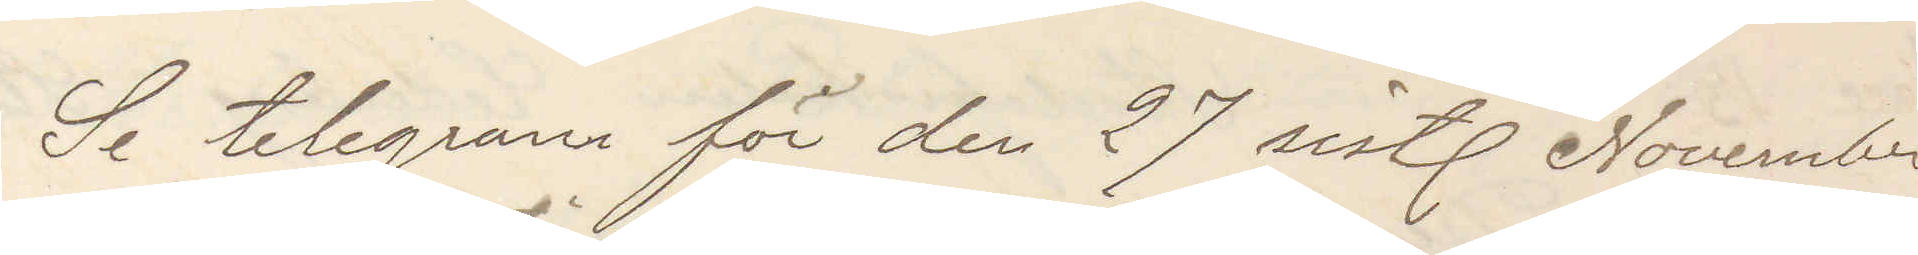Se telegram för den 27 sist. November
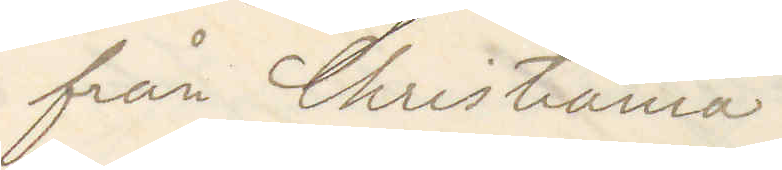från Christiania
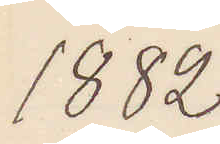1882
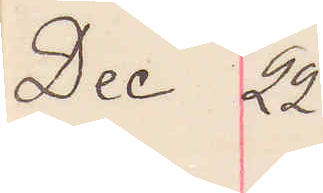Dec 22
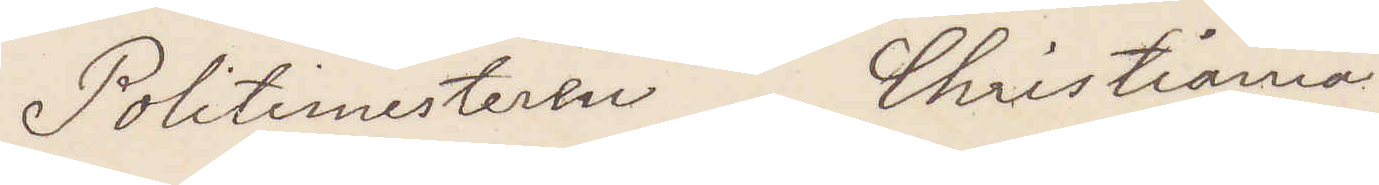Politimesteren Christiania
